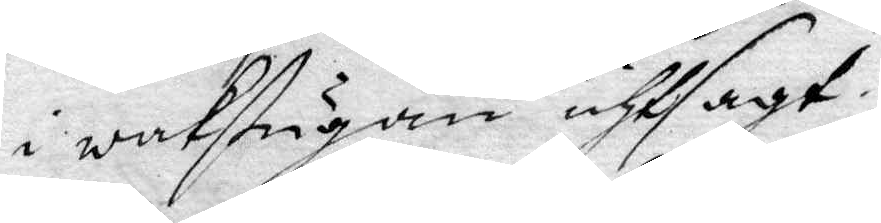i wachstugan uthsagt.
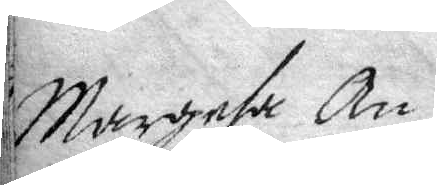Margeta An¬
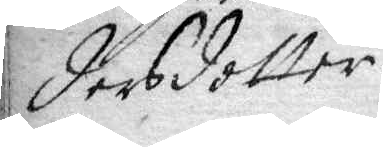dersdotter.
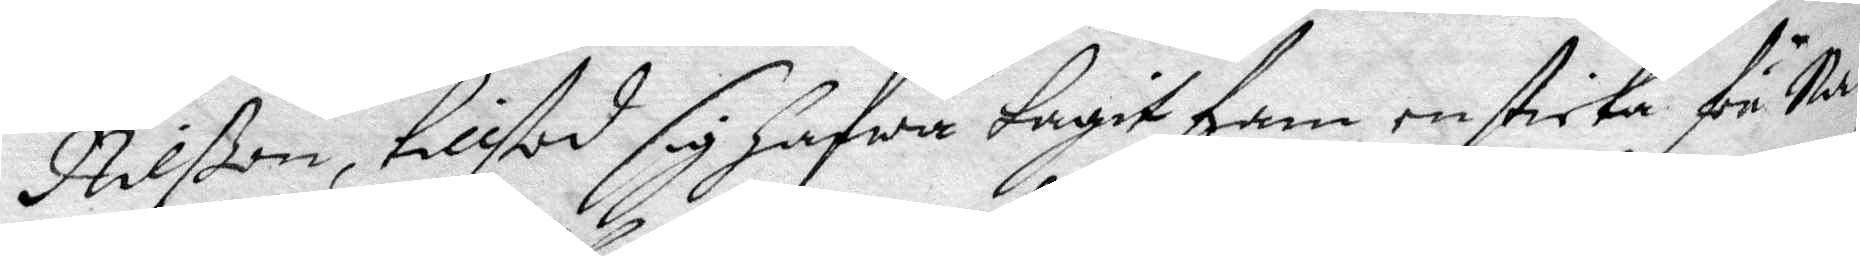Nilßon, tillstod sig hafwa tagit fram en sticka för Nå¬
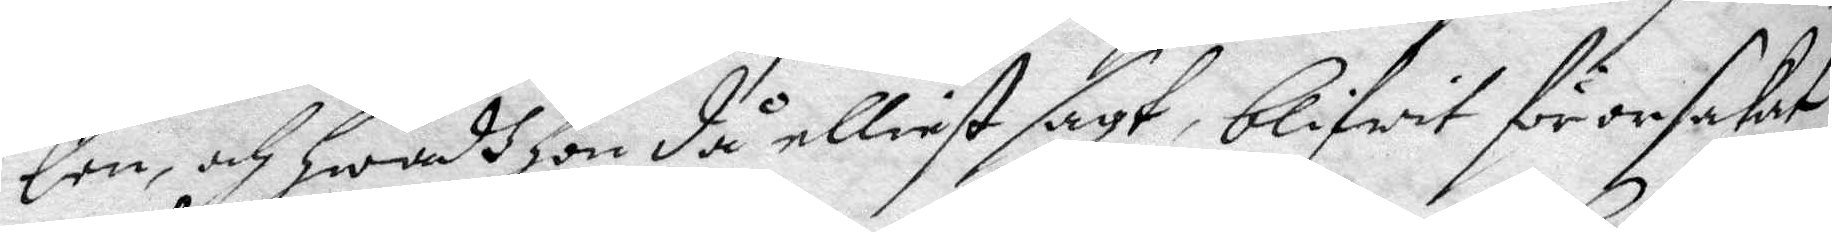len, och hwadh hon då elliest sagt, blifwit för orsakat
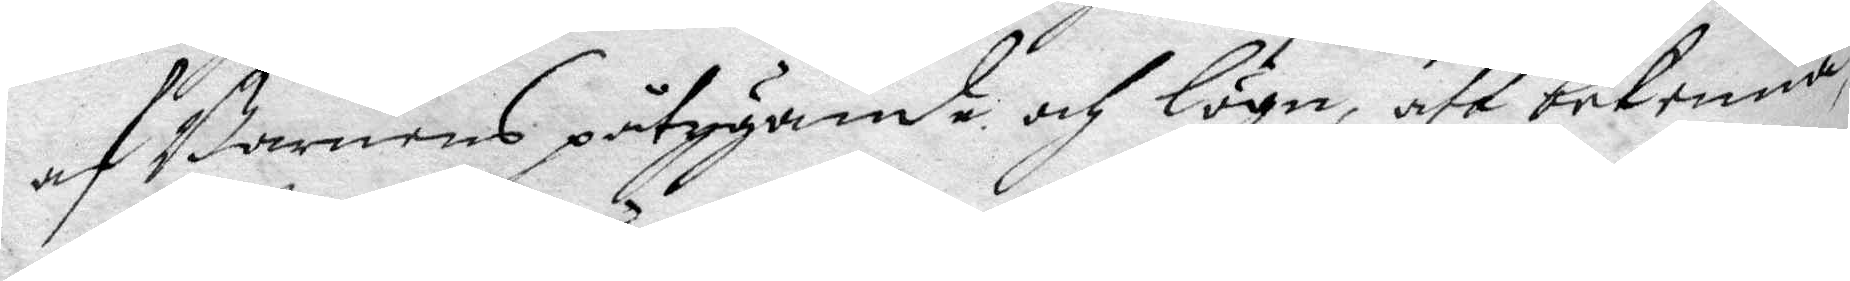af Barnens påtygande och lögn, att bekenna
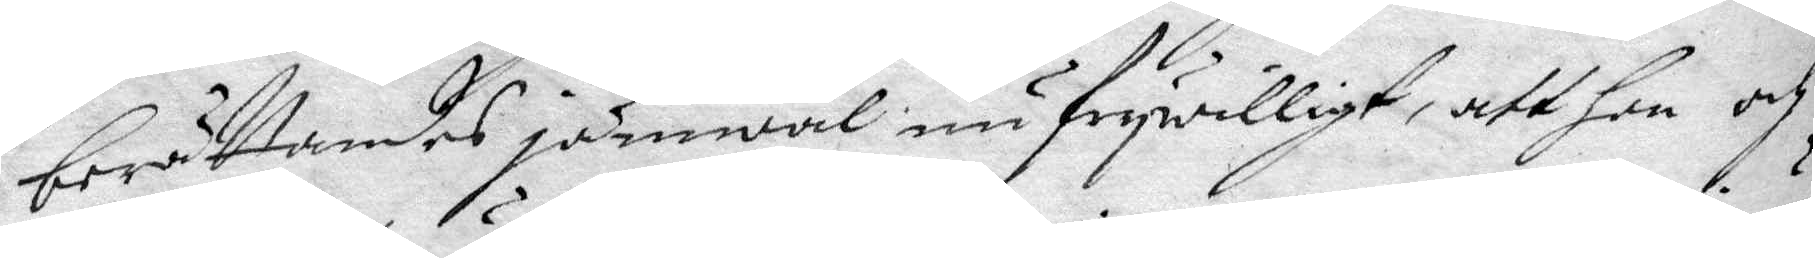berättandes jämnwäl nu frywilligt, att hon och
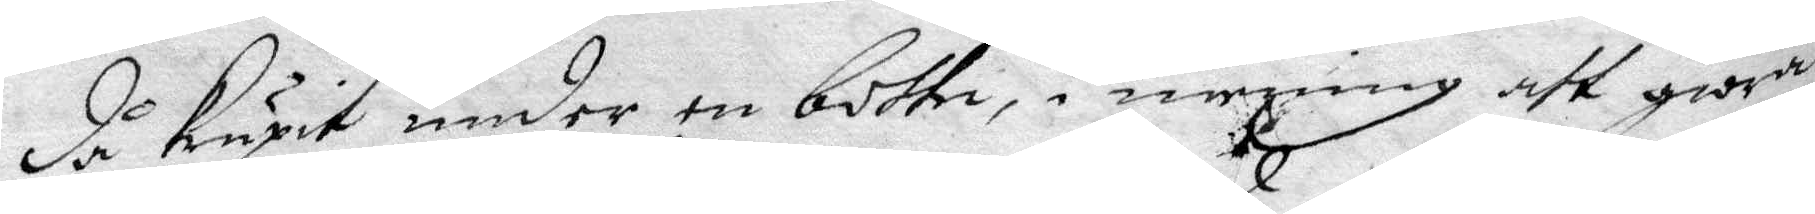då Krypit under en bottn, i mening att giöra
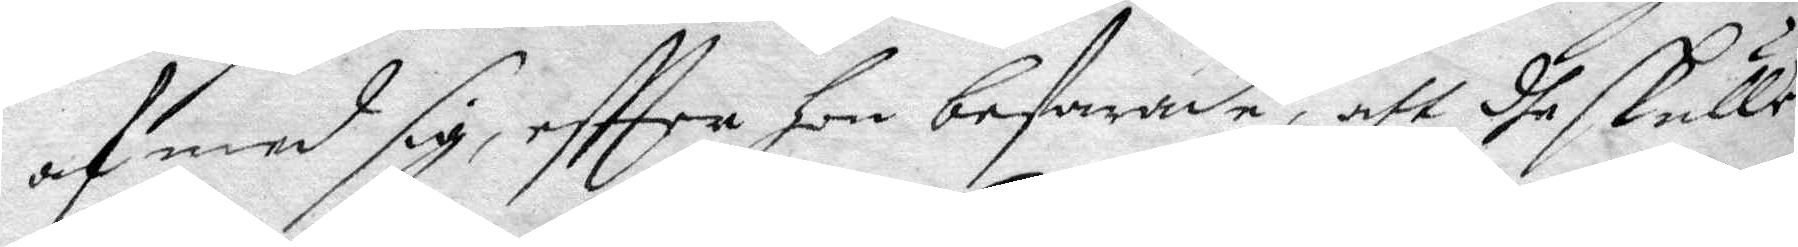af med sig, eftter hon befarade, att dhe skulle
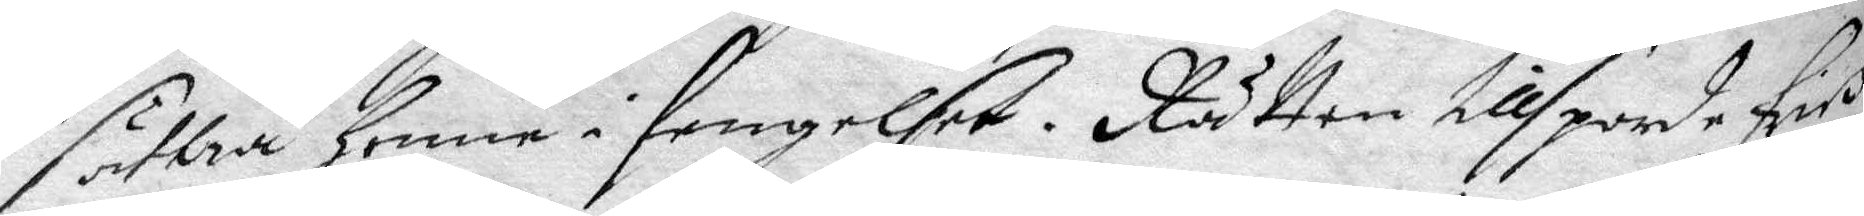sättia henne i fenelset. Rätten tillsporde erich
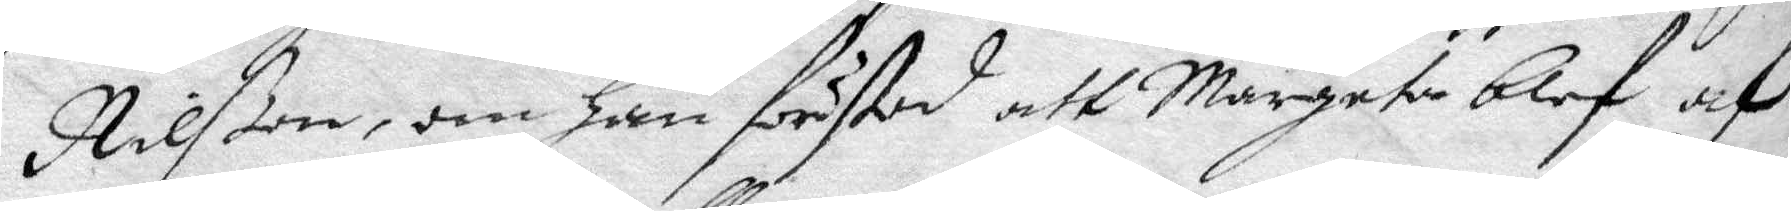Nilßon, om han förstod att Margeta blef af
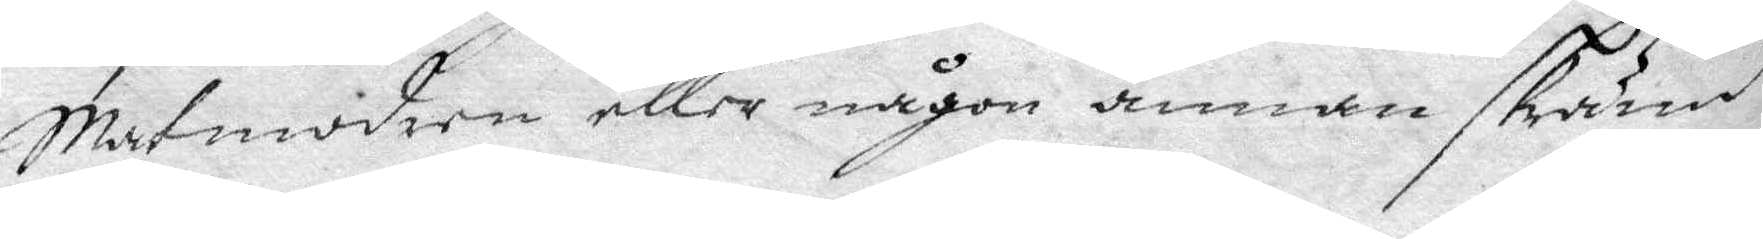Matmodren eller någon annan skrämd?
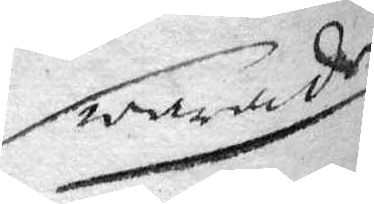Swarade
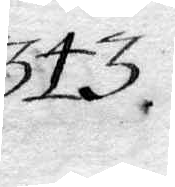343.
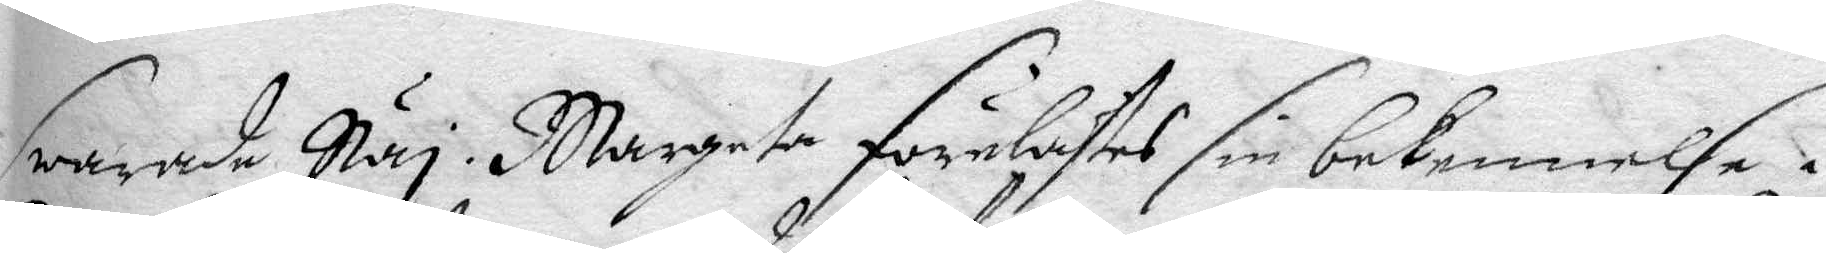swarade Ney. Margeta förelästes sin bekennelse i
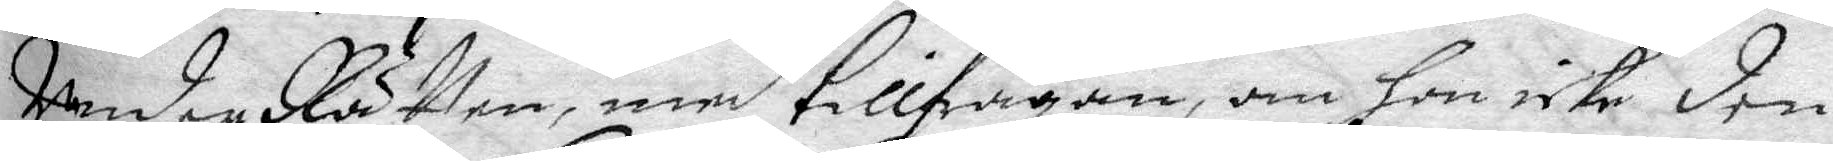UnderRätten, med tillfrågan, om hon icke den
